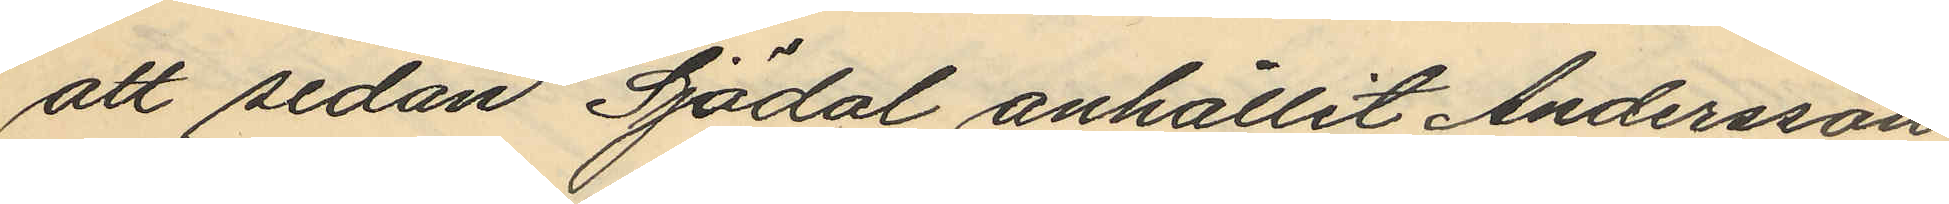att sedan Sjödal anhållit Andersson
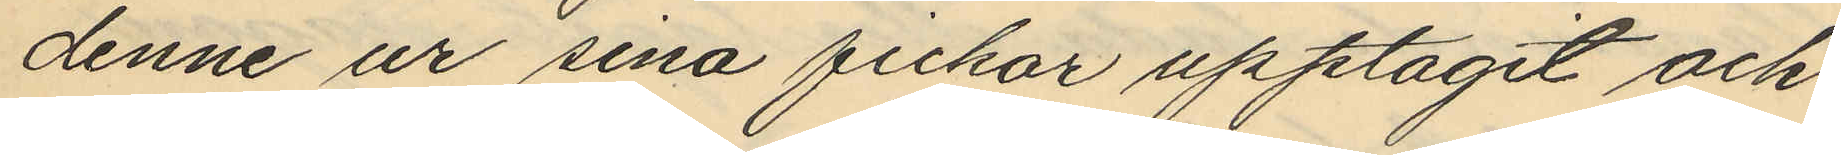denne ur sina fickor upptagit och
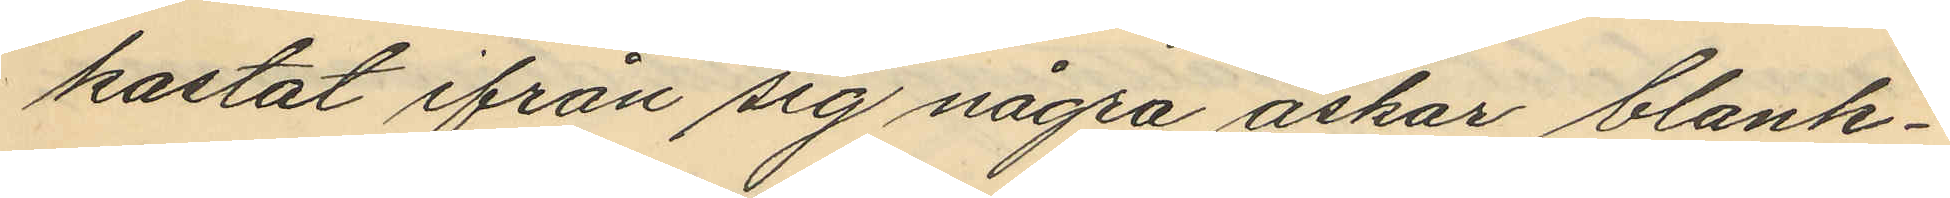kastat ifrån sig några askar blank¬
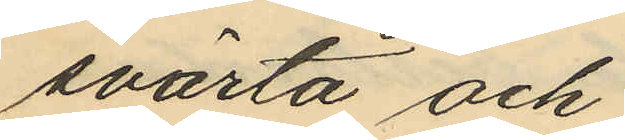svärta och
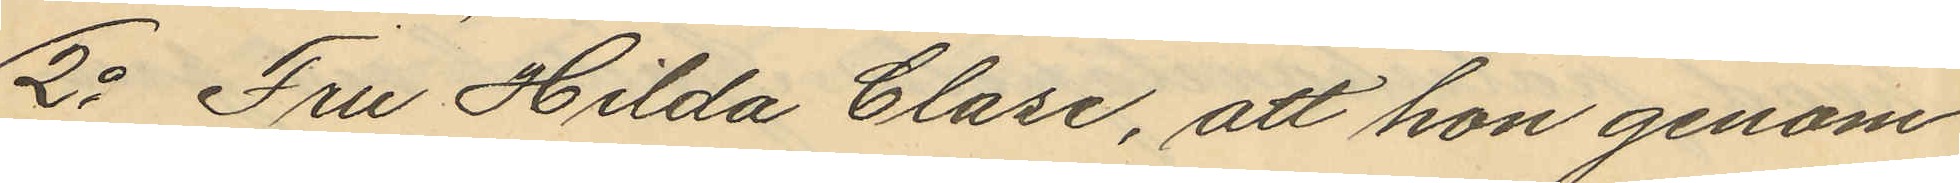2o Fru Hilda Clase, att hon genom
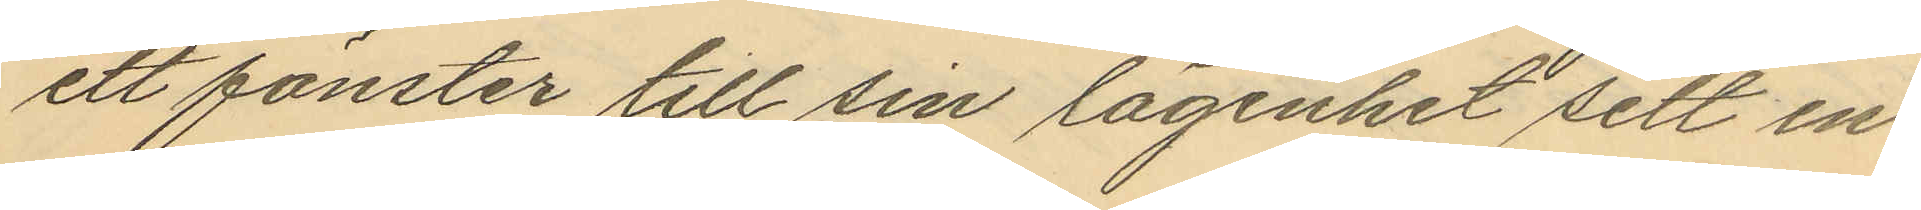ett fönster till sin lägenhet sett en
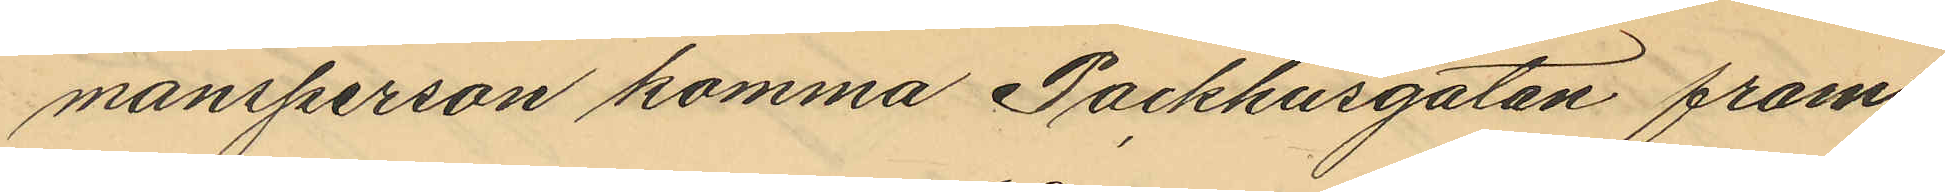mansperson komma Packhusgatan fram
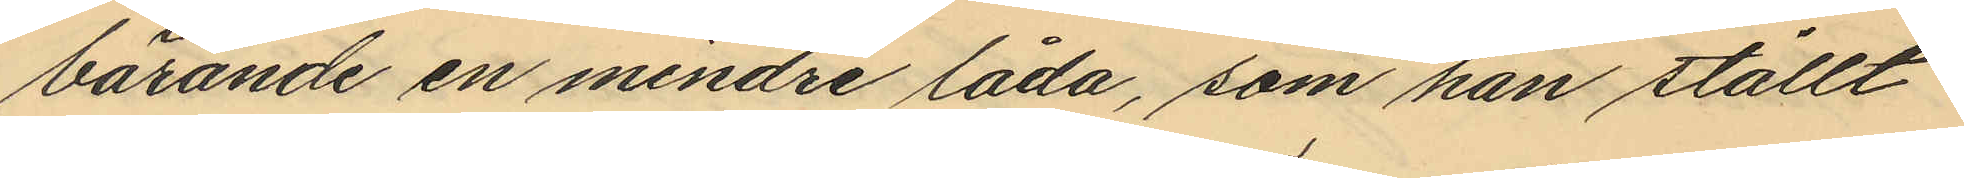bärande en mindre låda, som han ställt
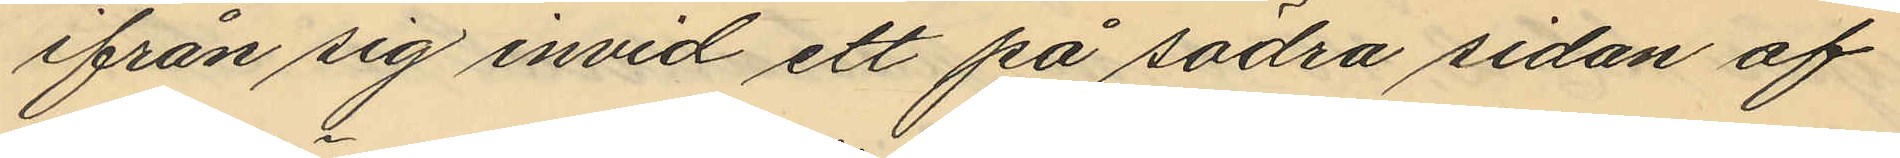ifrån sig invid ett på södra sidan af
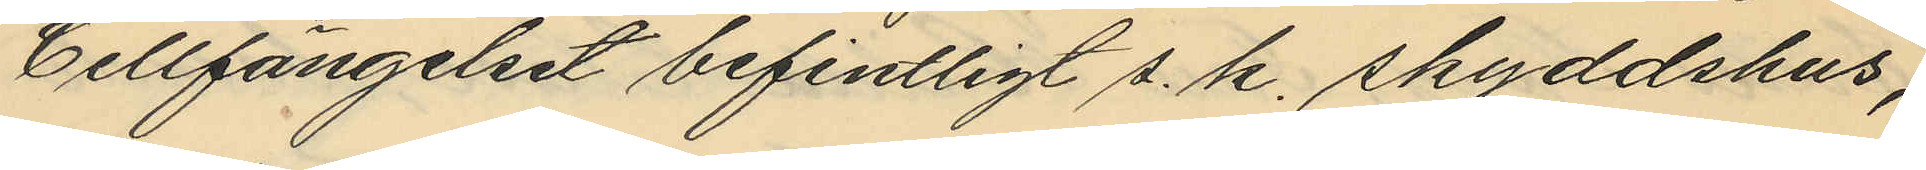Cellfängelset befintligt s. k. skyddshus;
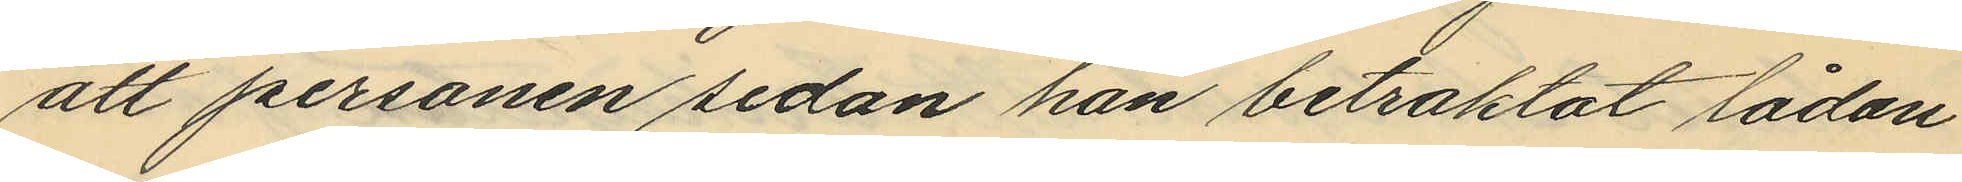att personen sedan han betraktat lådan
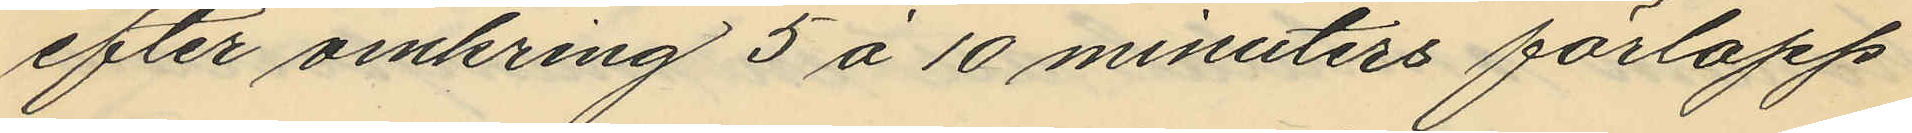efter omkring 5 á 10 minuters förlopp
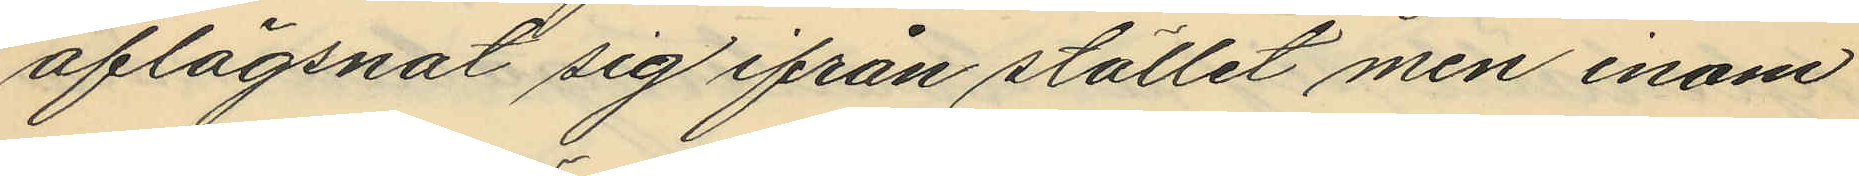aflägsnat sig ifrån stället men inom
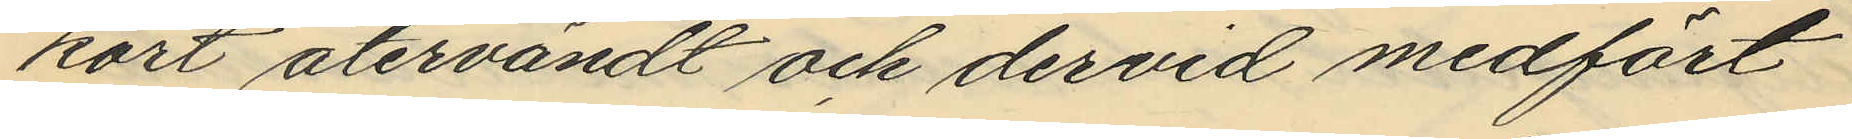kort återvändt och dervid medfört
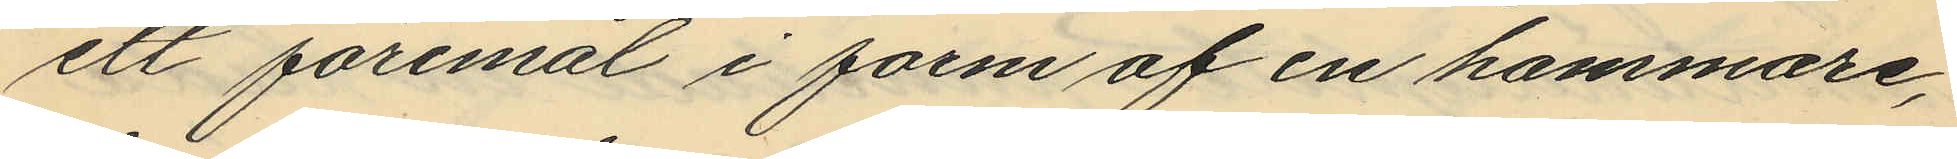ett föremål i form af en hammare,
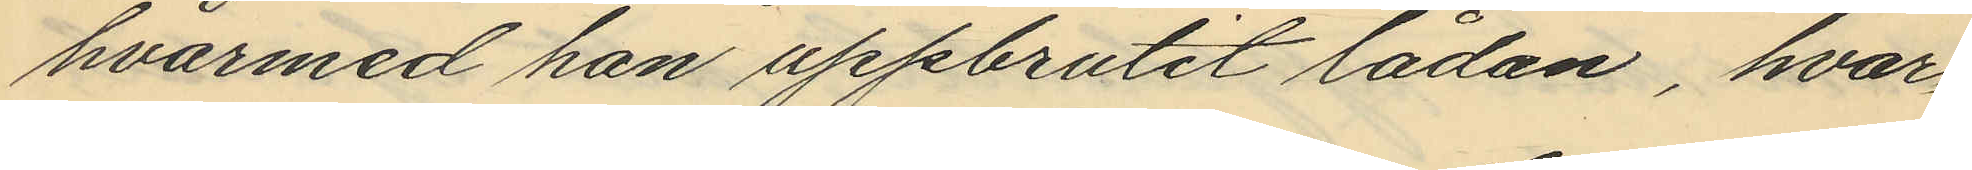hvarmed han uppbrutit lådan, hvar¬
